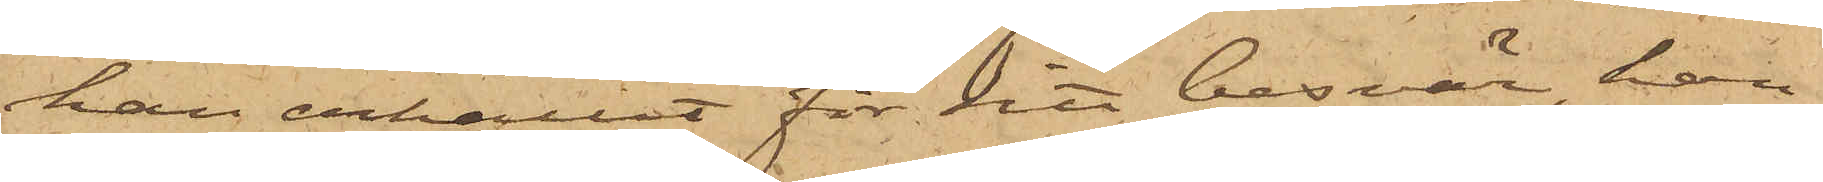han erhållit för sitt besvär, han
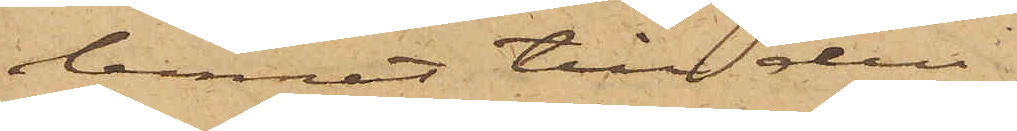lemnat till den
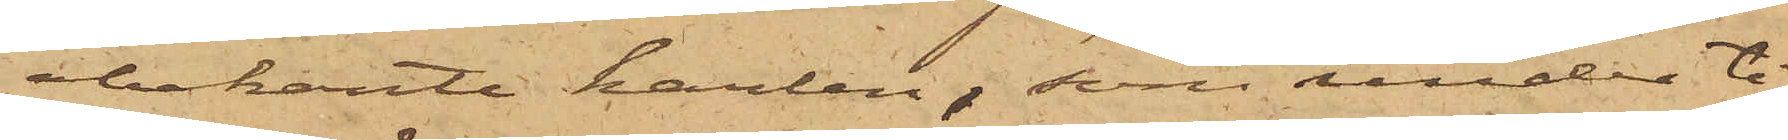obekante karlen, som under ti¬
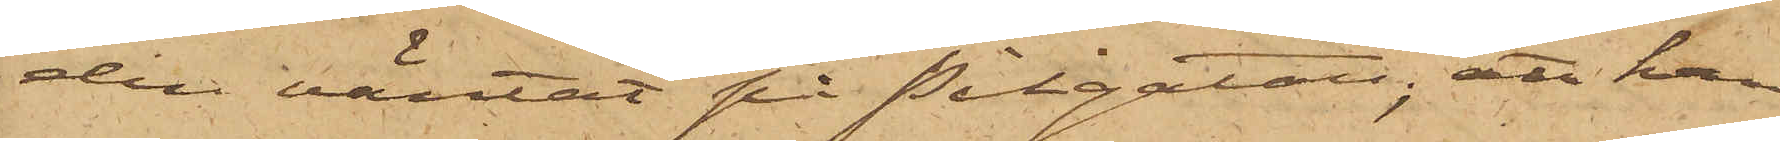den väntat på Pilgatan; att han
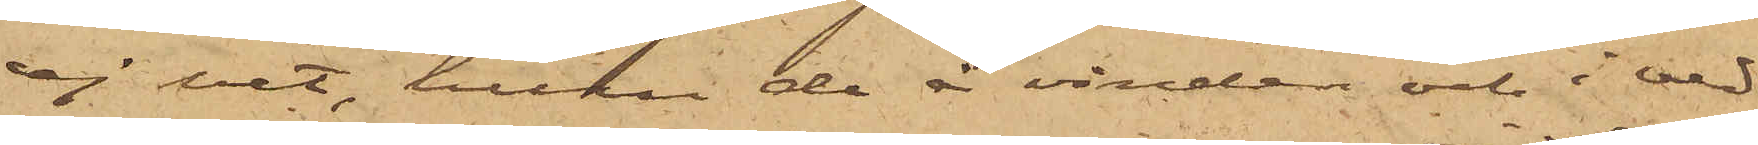ej vet, huru de å vinden och i ved¬
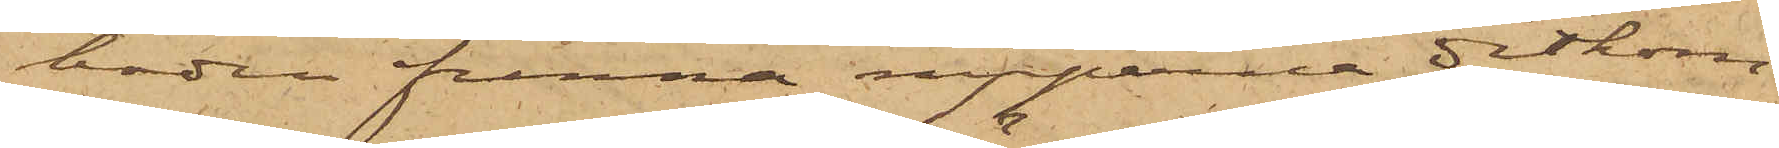boden funna nipperna ditkom¬
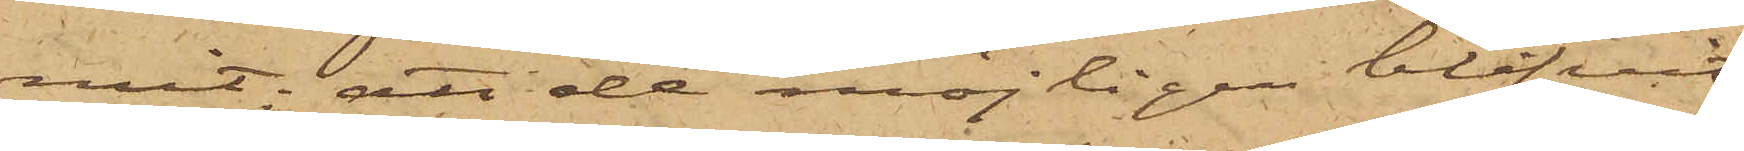mit; att de möjligen blifvit
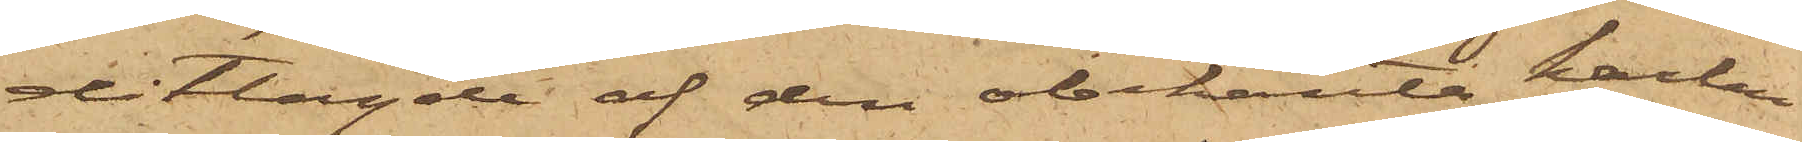ditlagde af den obekanta karlen
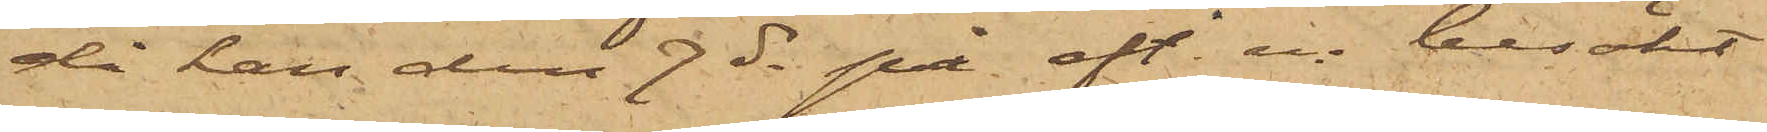då han den 7 ds på eft. m. besökt
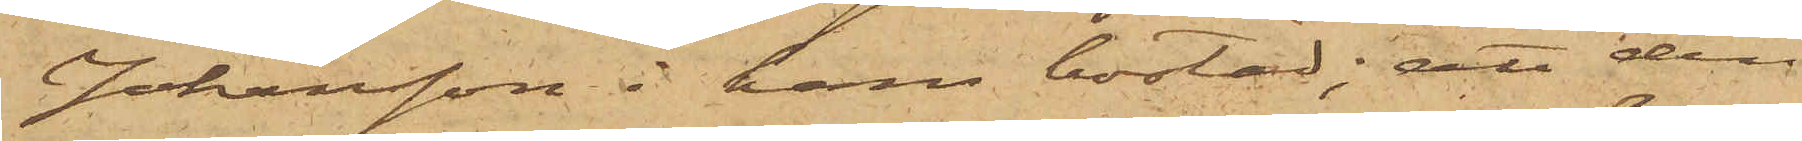Johansson i hans bostad; att den
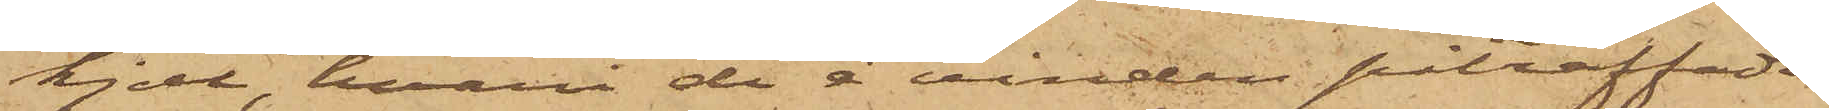kjol, hvari de å vinden påträffade
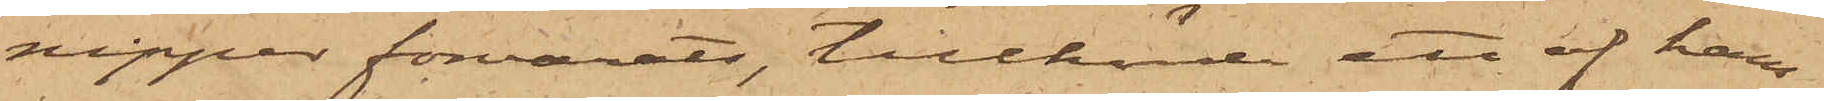nipper förvarats, tillhörde ett af hans
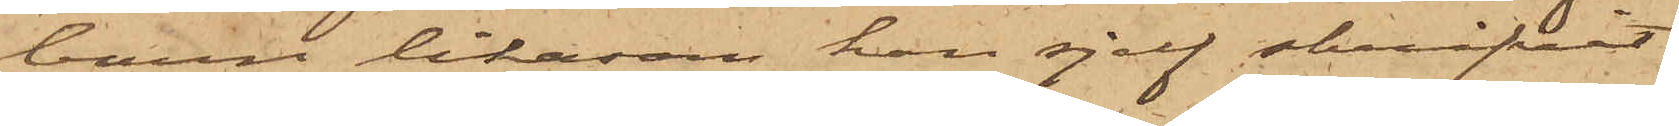barn likasom han sjelf skrifvit
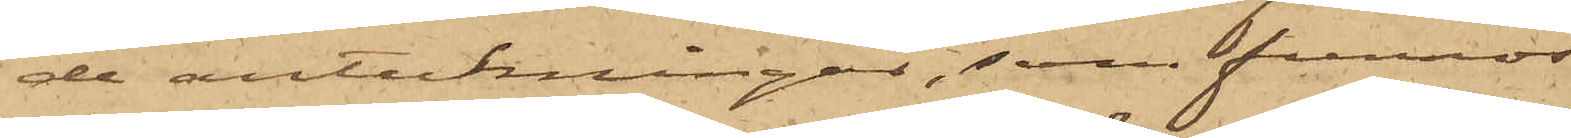de anteckningar, som funnos
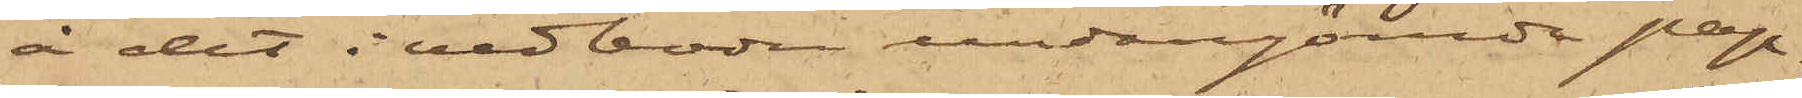å det i vedboden undangömde pap¬
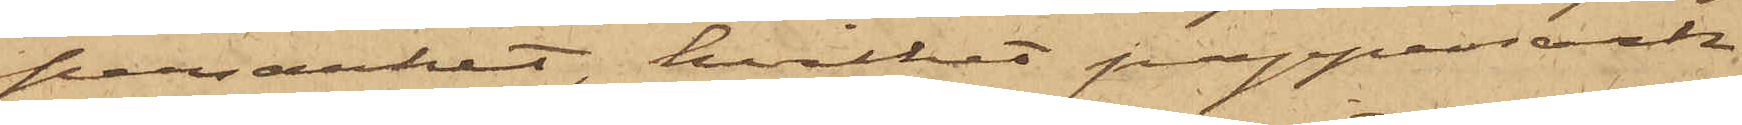persarket, hvilket pappersark
